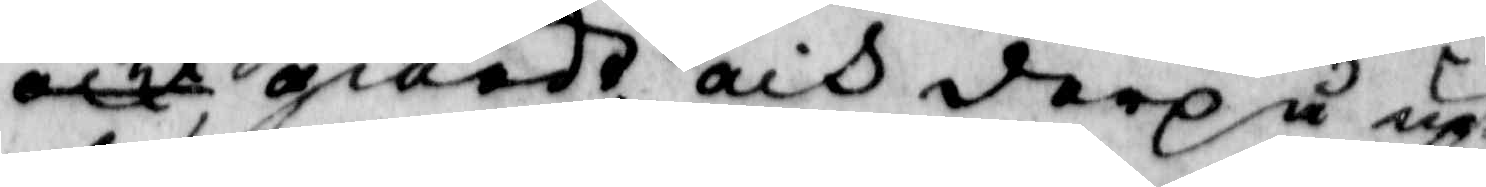giorde, och derpå up¬
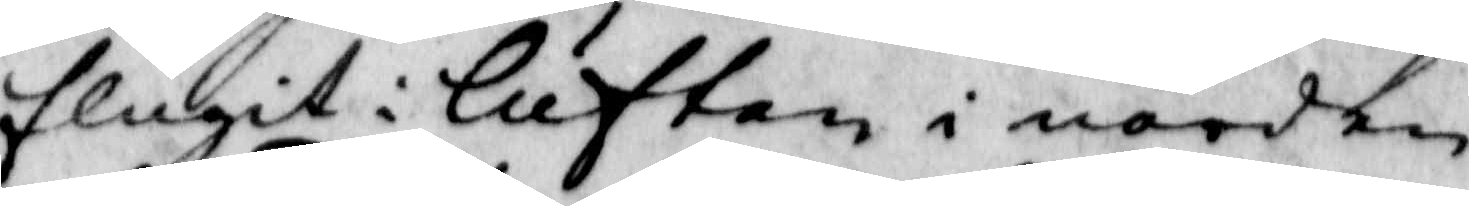flugit i luften i norden
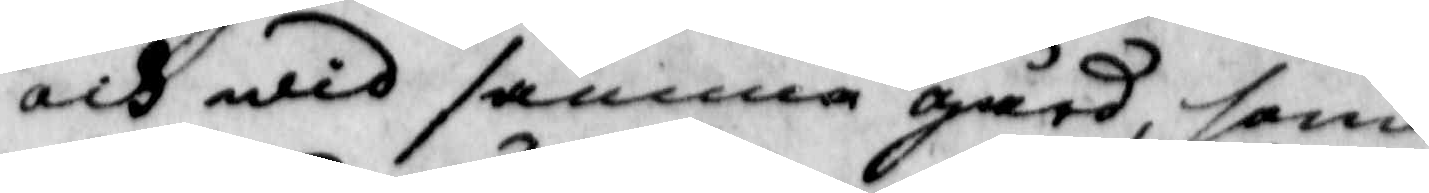och wid samma gård, som
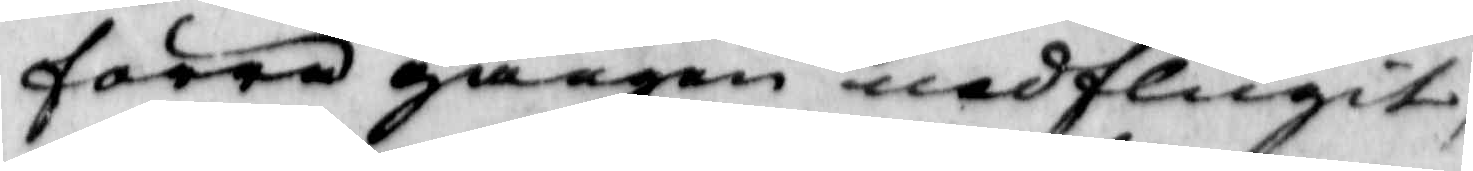förra gången nedflugit,
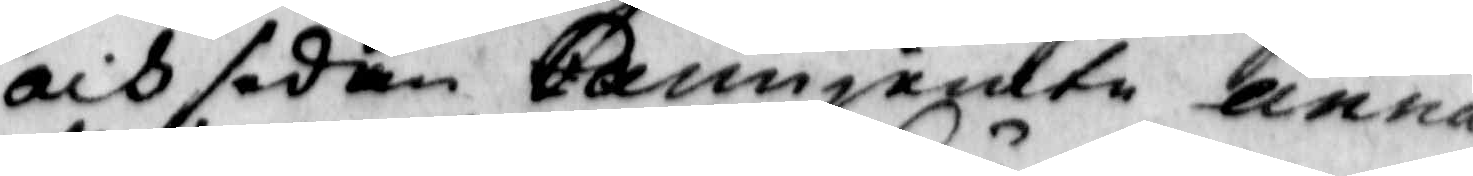och sedan carin jemte Anna
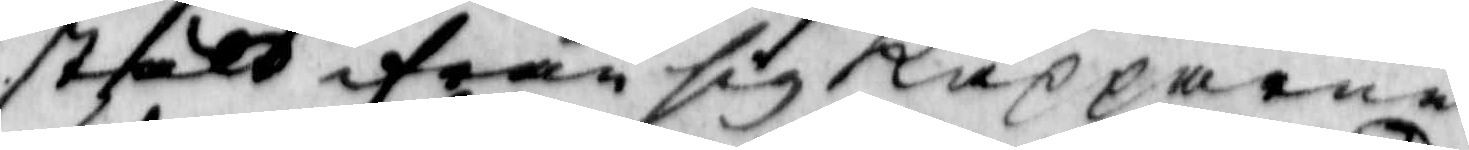stält ifrån sig Käpparna
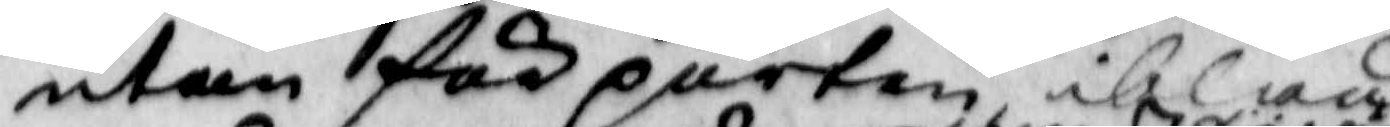utan för porten ibland
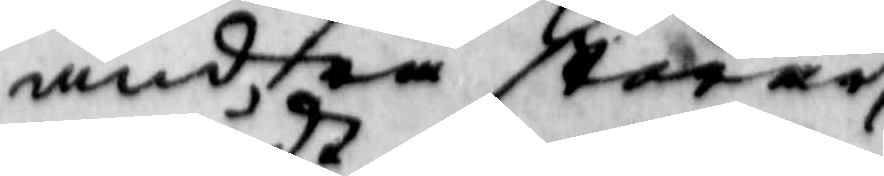andra ståene
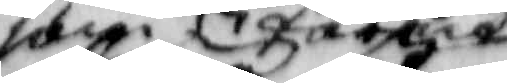tog sät
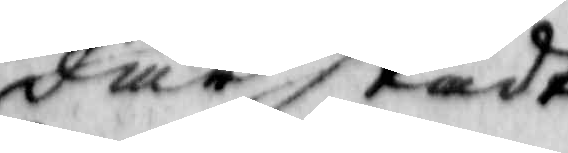där städt
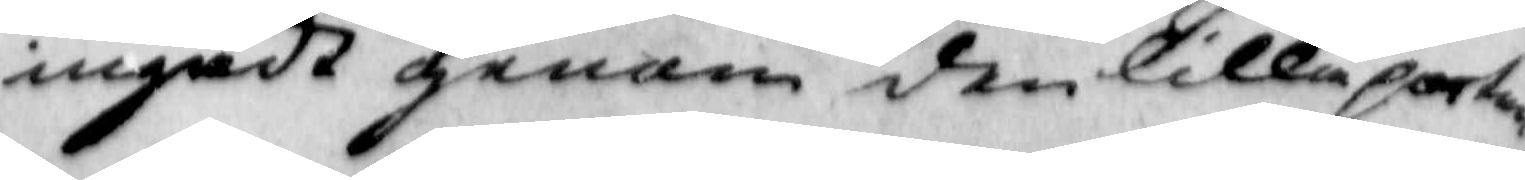ingådt genom den lilla porten
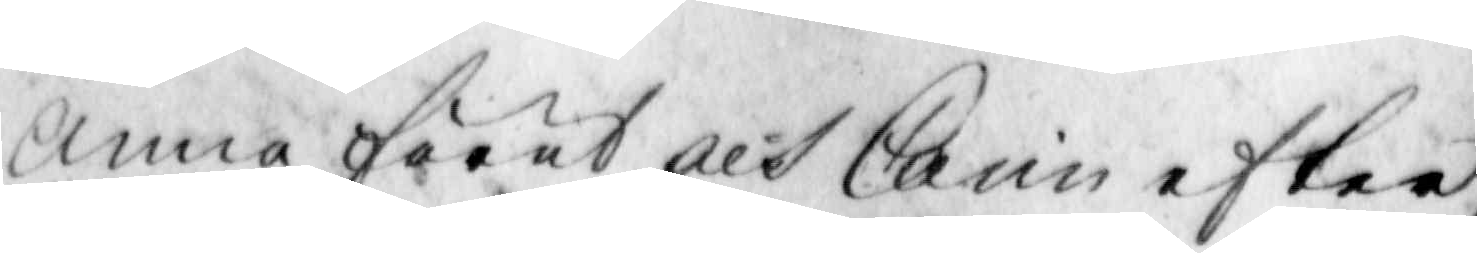Anna förut och Carin efter
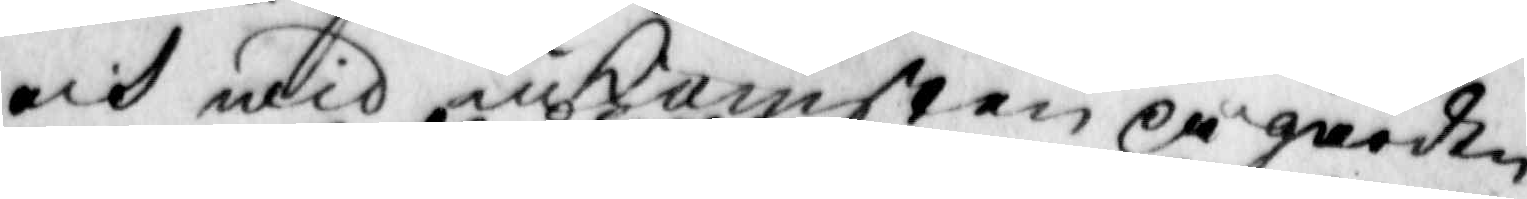och wid inkomsten på gården
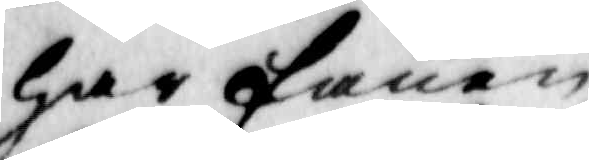har fanen 
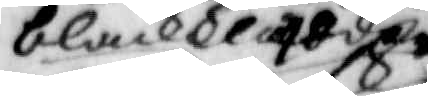blackklädder
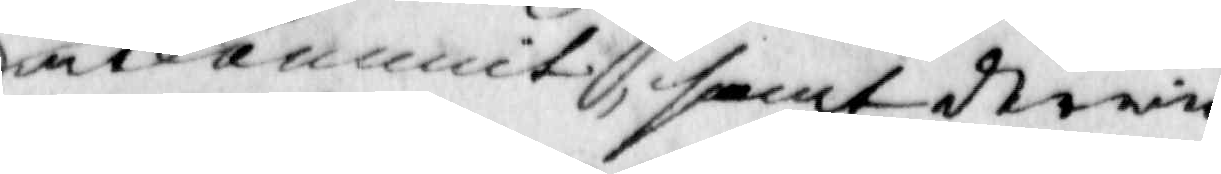utkammit, samt derwid
